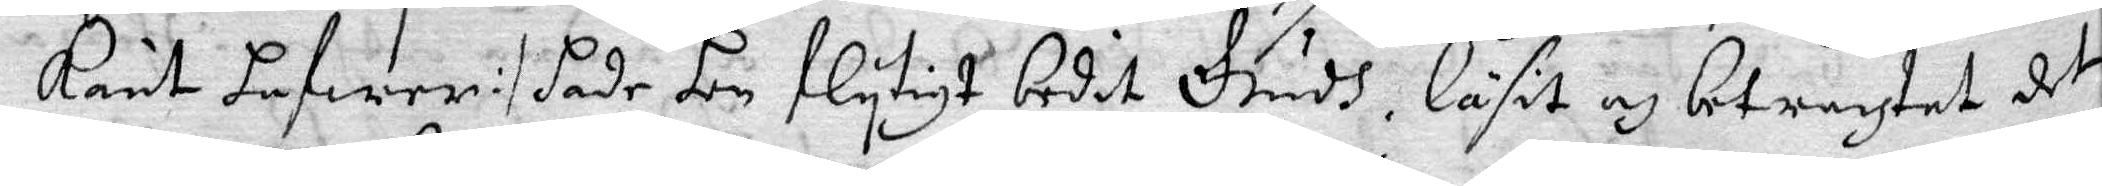känt hafwer :/ hade hon flytigt bedit Gudh, läsit och betrachtat det
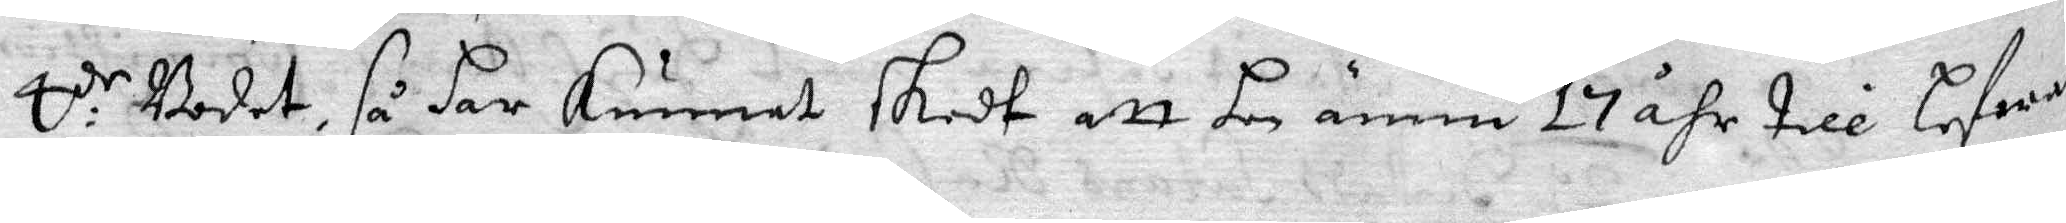4:de Bodet, så har kunnat skedt att hon ännu 17 åhr till lefwa
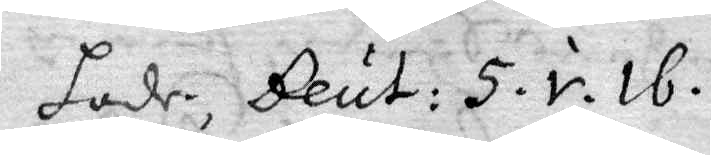hade, Beut: 5. v. 16.
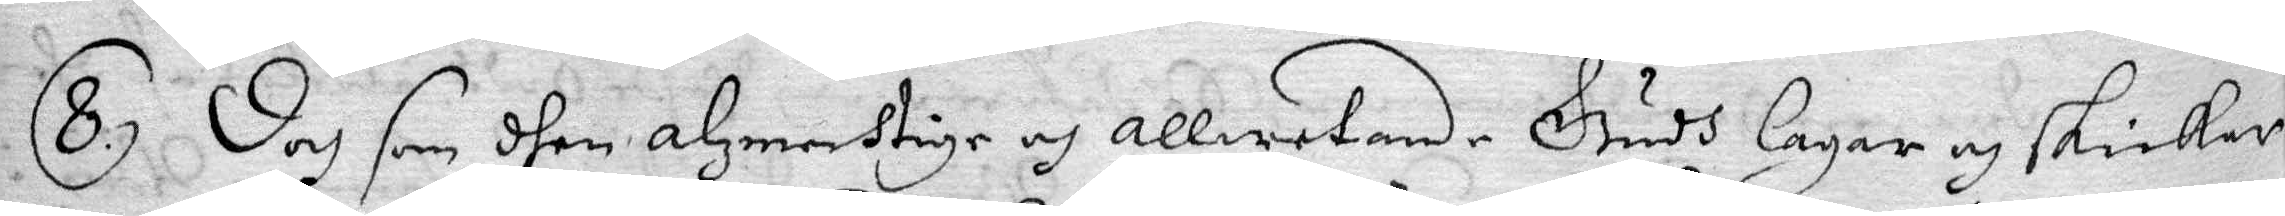8. Doch som dhen alzmechtige och allwetande Gudh lagar och skickar
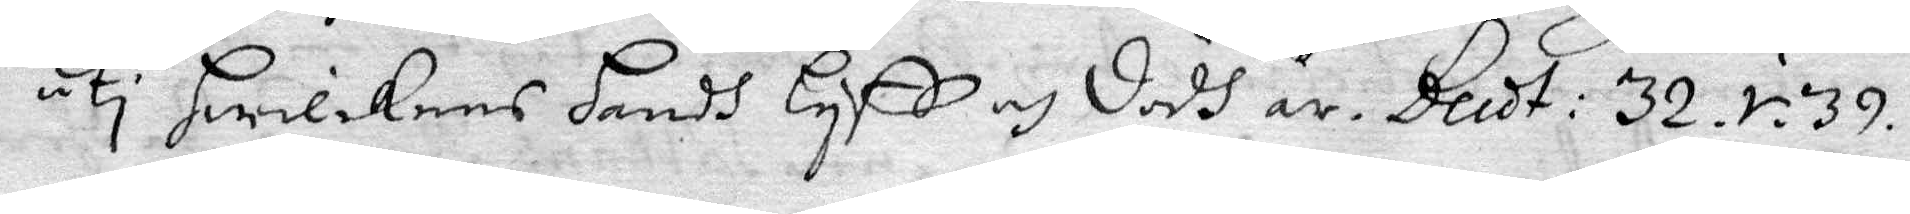uti hwilkens hansh lyff och dödh är. Beut: 32. v. 39.
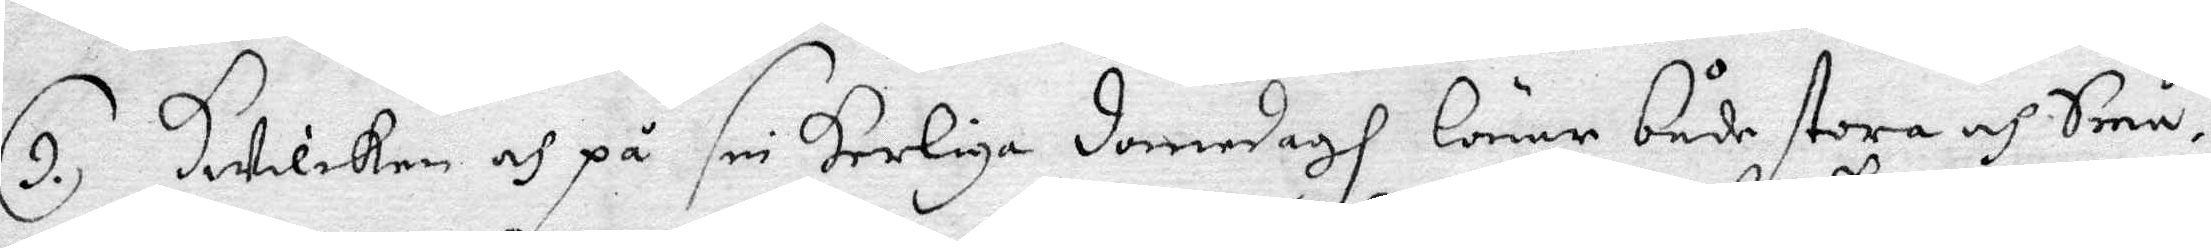9. Hwilken och på sin herliga domedagh lönar både stora och Små.
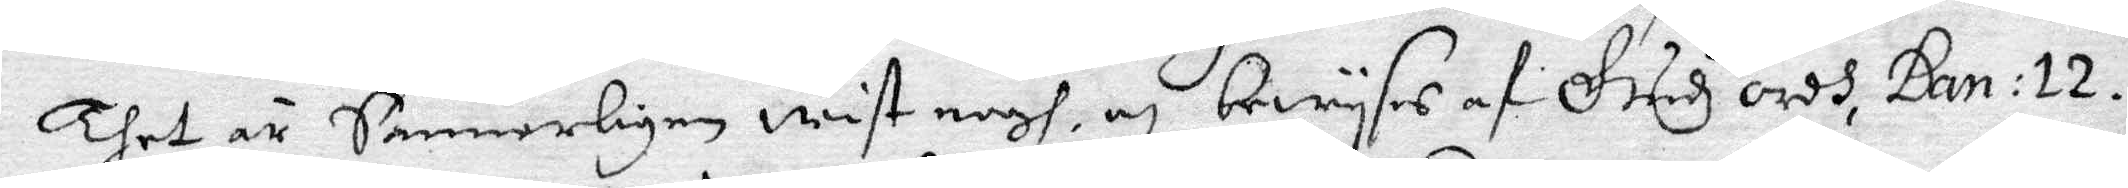Thet är Sannerligen wist nogh och bewyses af Gudhs, Dan: 12.
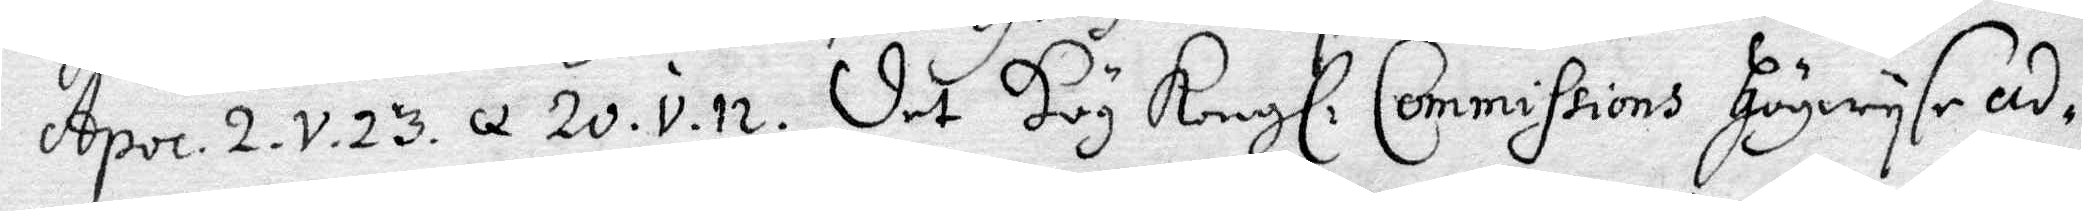Apoc. 2. v. 23 q 20. v. n. det Hög Kongl. Commissions Högwyse ad¬
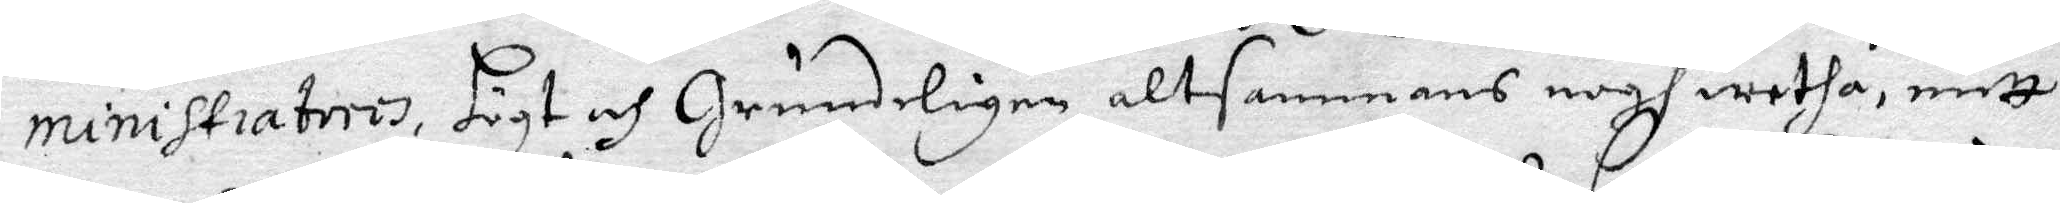ministrateio, högt och grundelgen altsammans nogh wetha, mitt
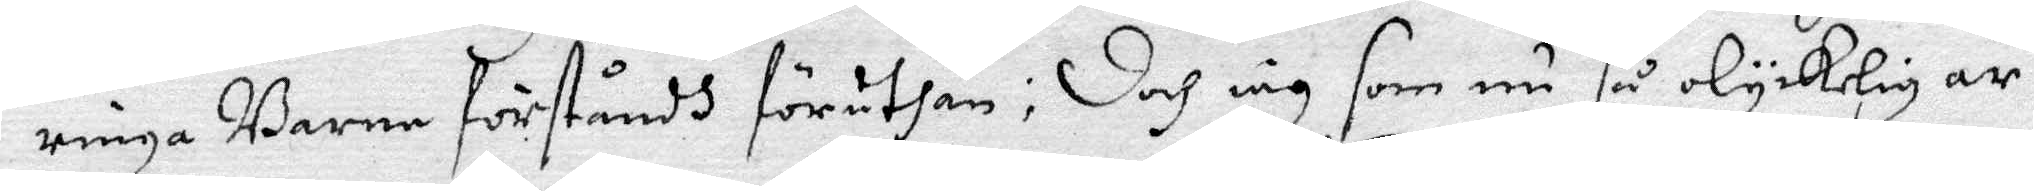ringa Barne förståndh föruthan; Doch iag som nu så olyckelig är
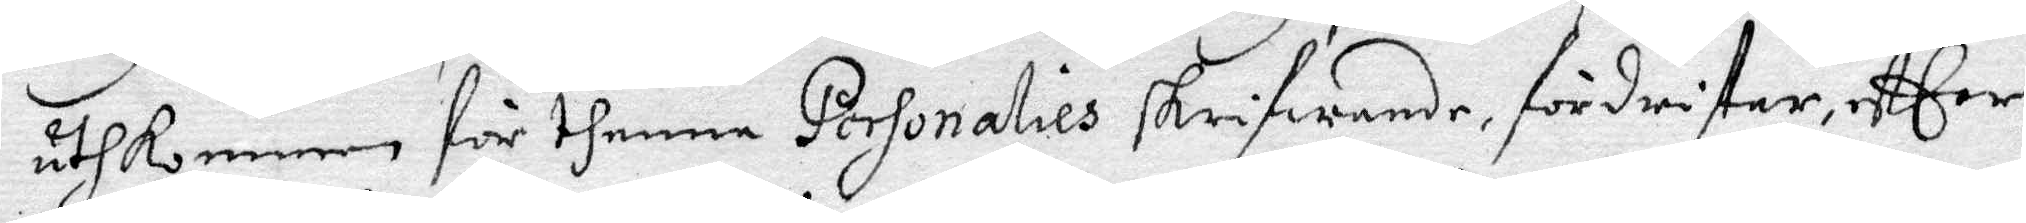uthkommen för thenna Personalies skrifwande, fördristar, eftter
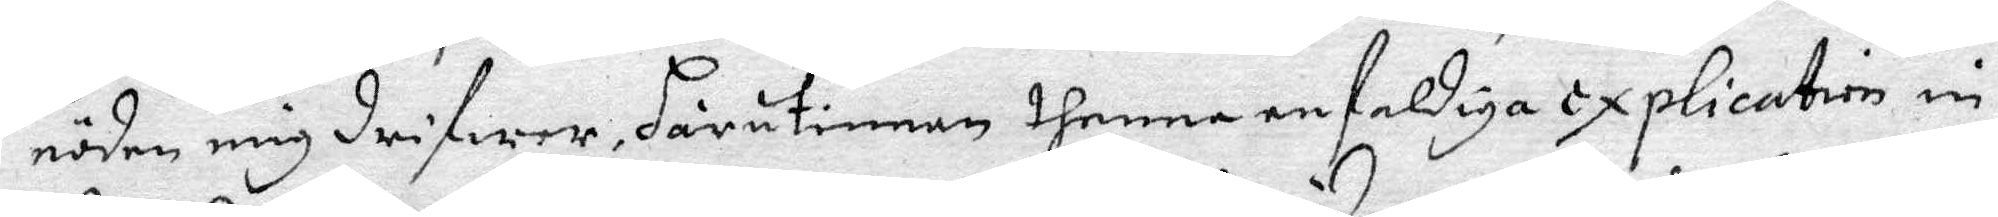nöden mig drifwer, härutinnan thenna enfaldiga explication in
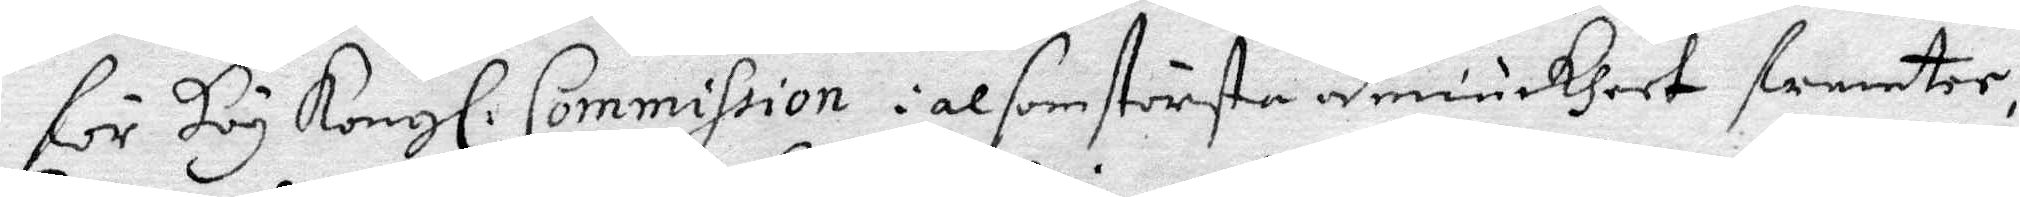för Hög Kongl: Commission i alsom strösta ödmiukheet fremter:
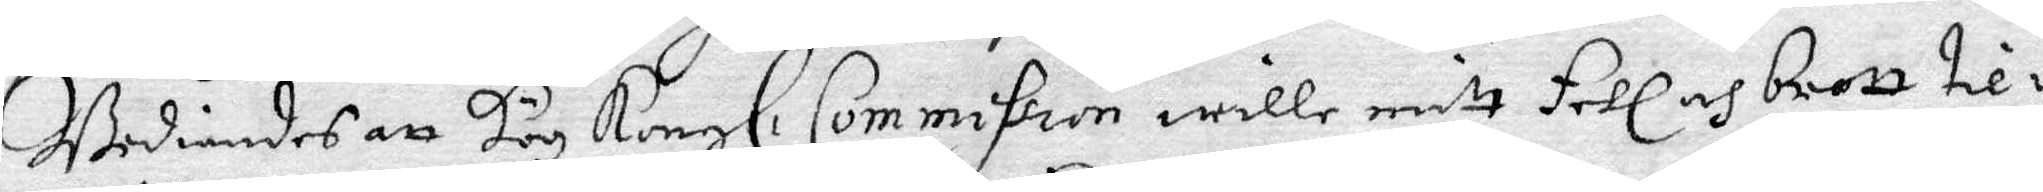Bediandes att Hög Kongl. Commission wille mitt fehl och brott til¬
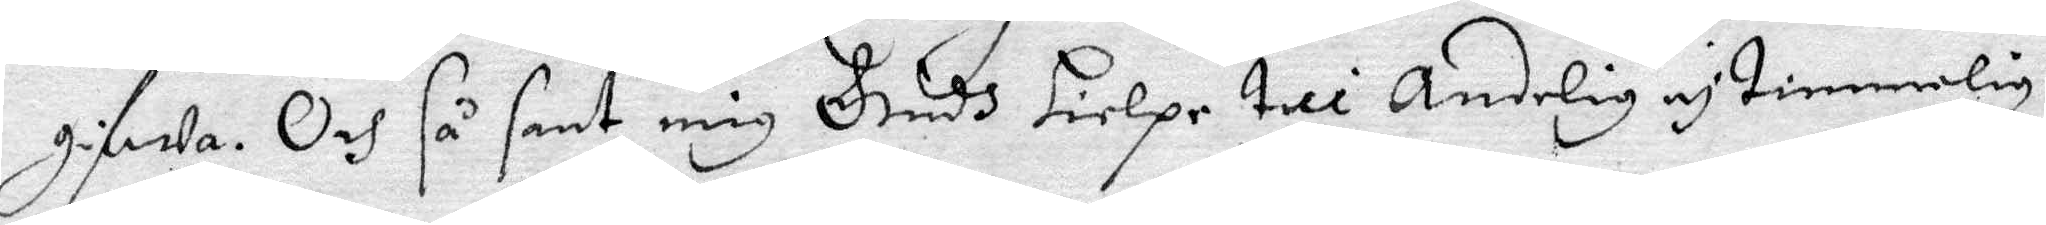gifwa. Och så sant mig Gudh hielpe till Anderlig och timmelig
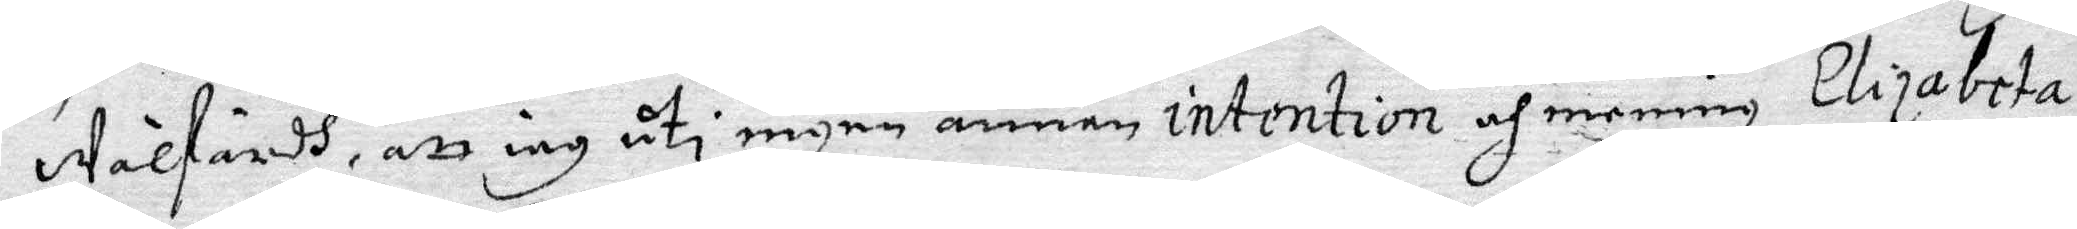Wälfärdh, att iag uti ingen annan intention och mening Elisabeta
